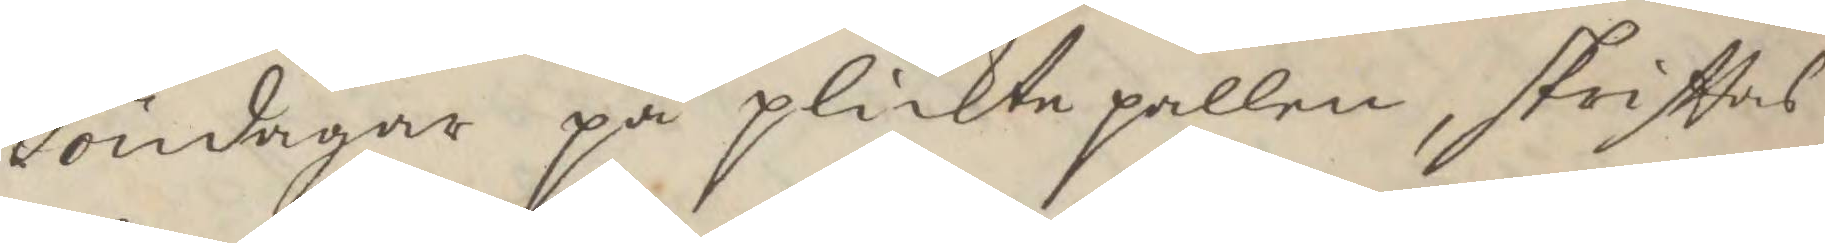Söndagar på plicktepallen, skriftas
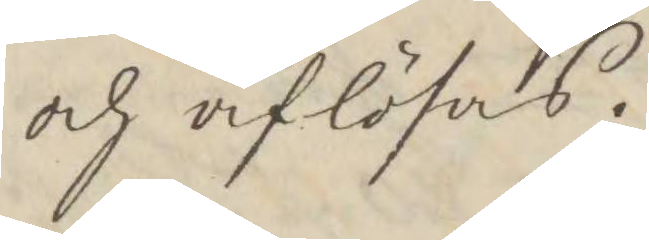och aflösas.
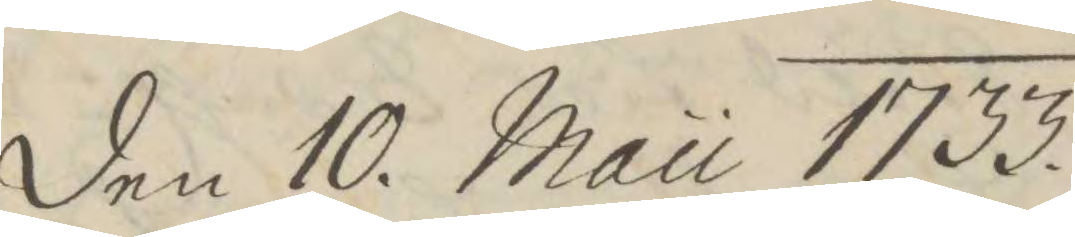den 10. Mau 1733.
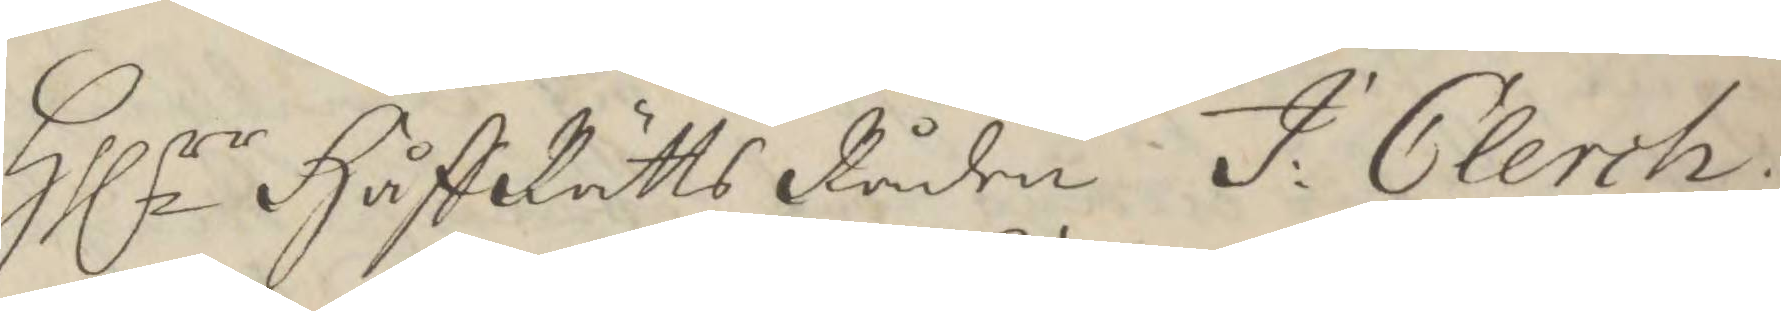Hllrr HåffRätts Råden J. Clerch.
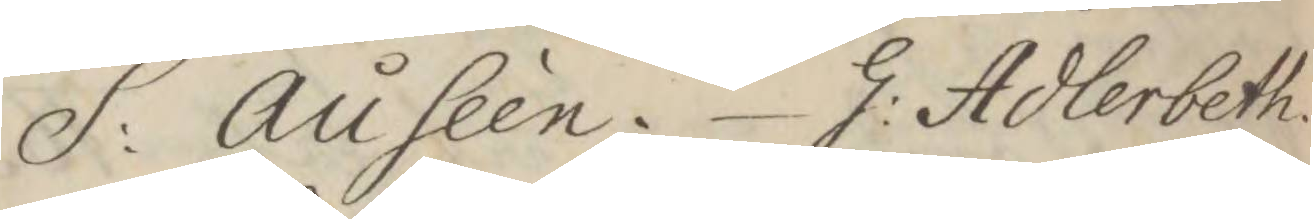S: Auséen. G: Adlerbeth.
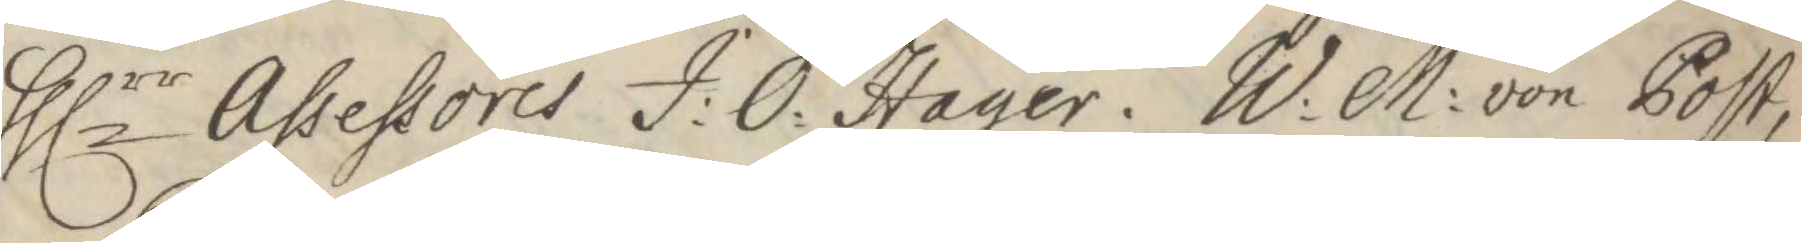Hllrr Assessores J:O:Hager. W:M: von Post,
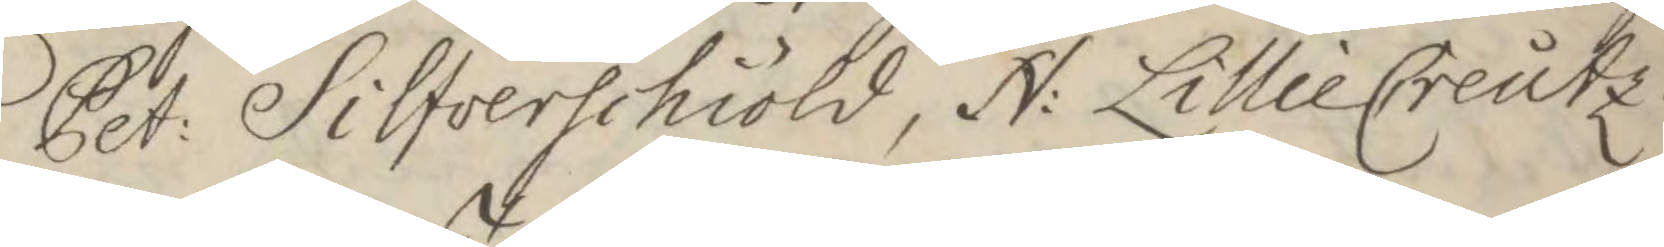Pet: Silfverschiöld, N: LillieCreutz.
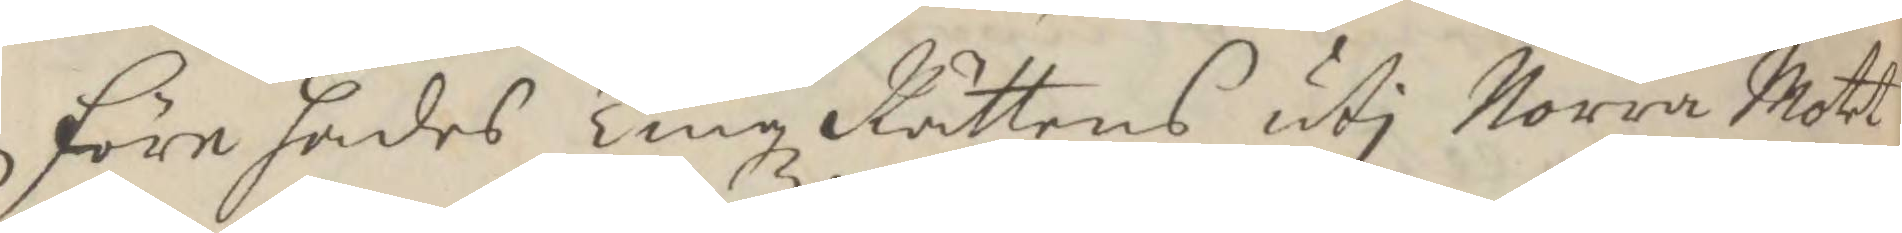Förehades Tingz Rättens uti Norra Mott
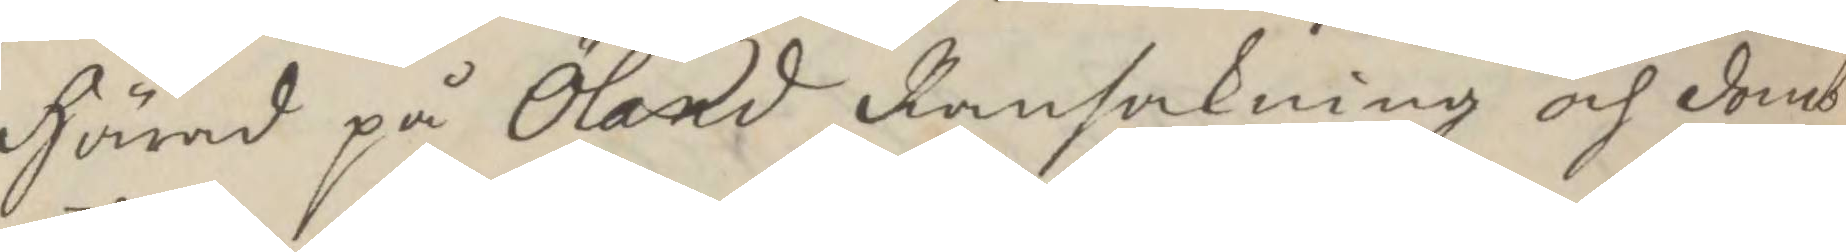Härad på Öland Ransakning och domb
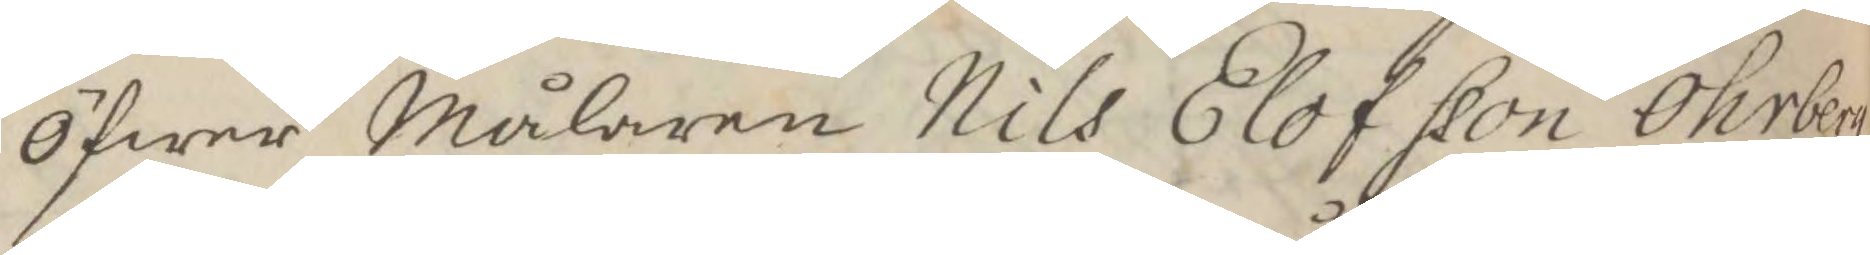öfwer Målaren Nils Elof sson Öhrberg
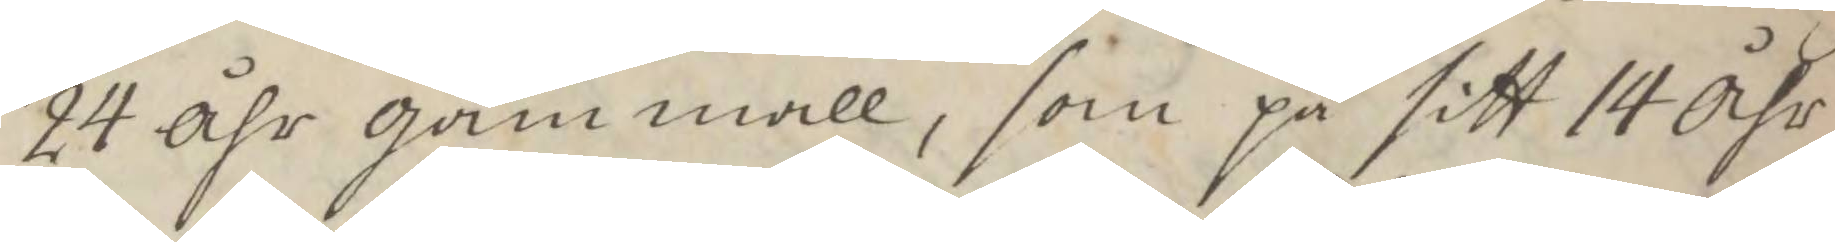24 åhr gammal, som på sitt 14 Åhr
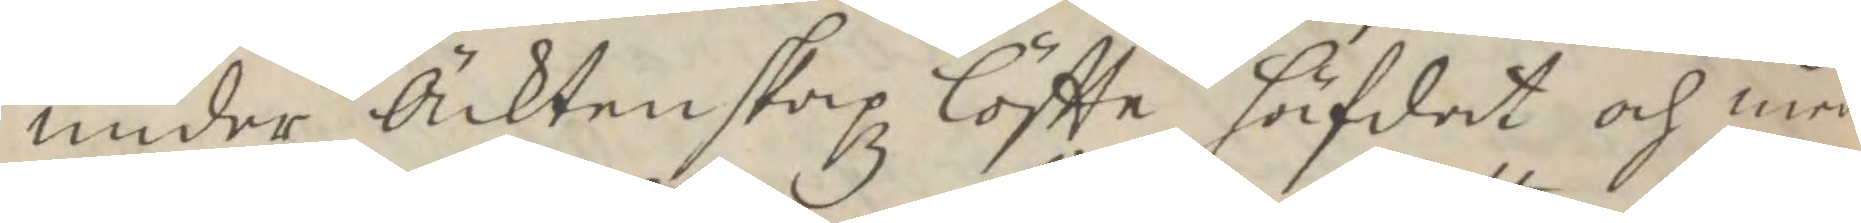under Äcktenskapsz löftte häfdat och med
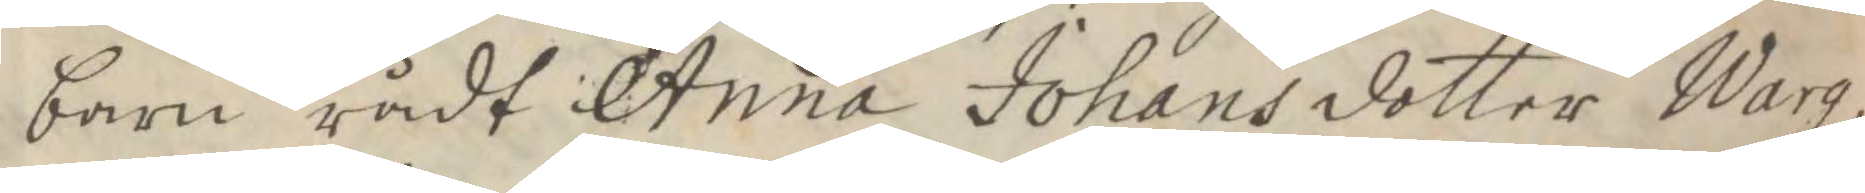barn rådt Anna Johansdotter Warg,
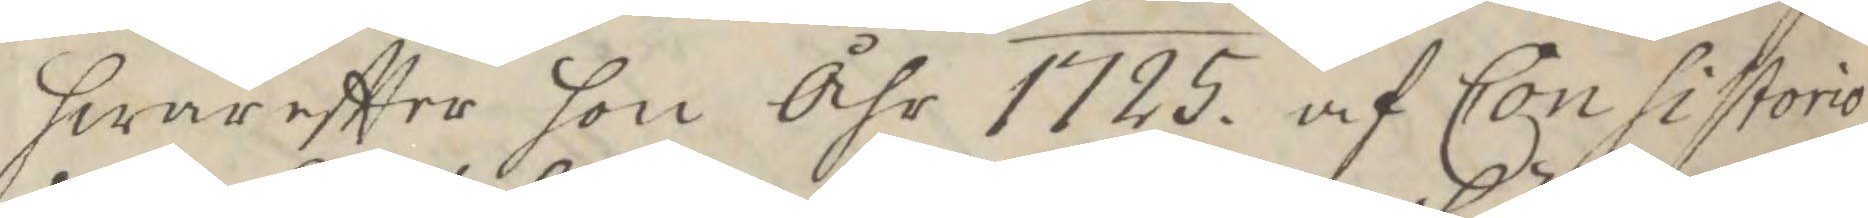hwareftter hon Åhr 1725 af Consistorio
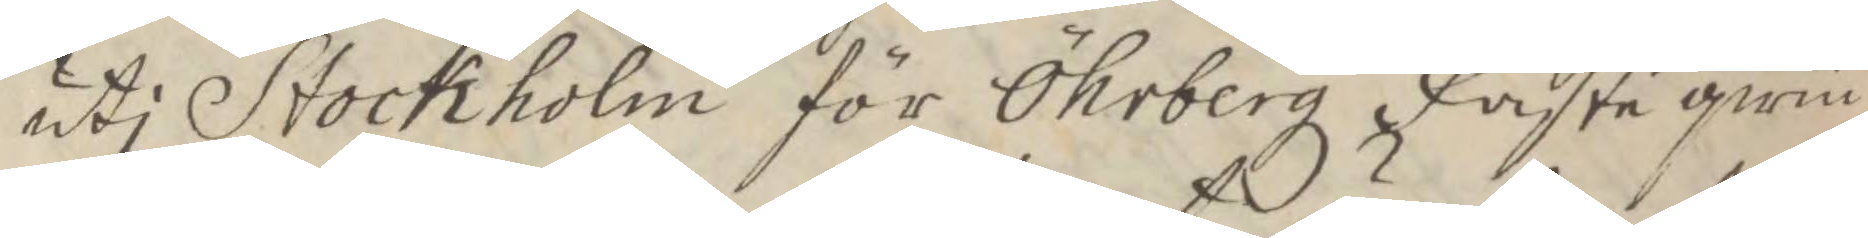uti Stockholm för Öhrbergz Fästeqwin¬
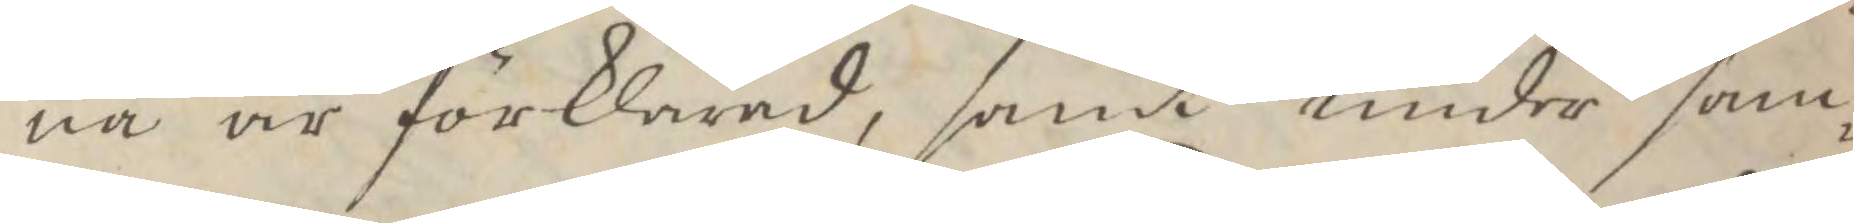na är förklarad, samt under sam¬
